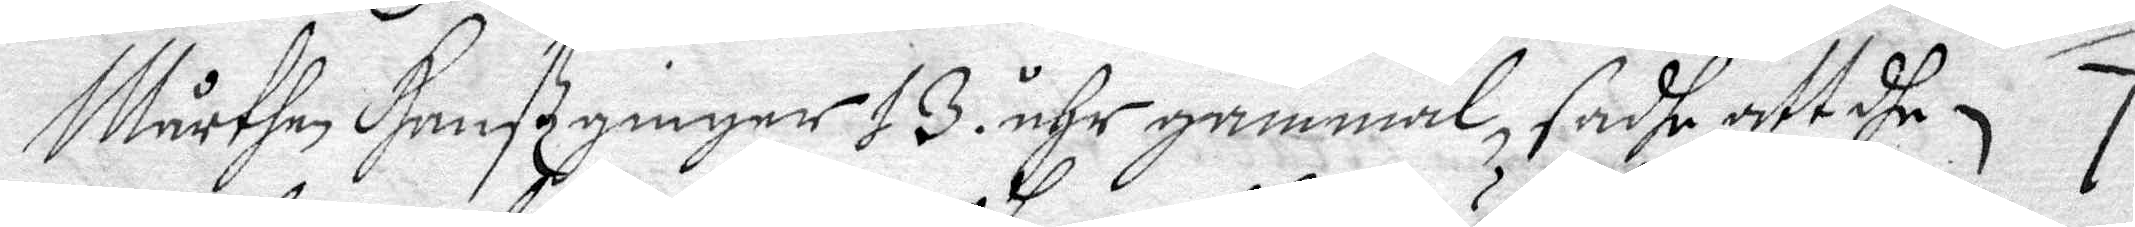Mårthen Hanßginger 13. ånhr gammal, sadhe att dhe 7
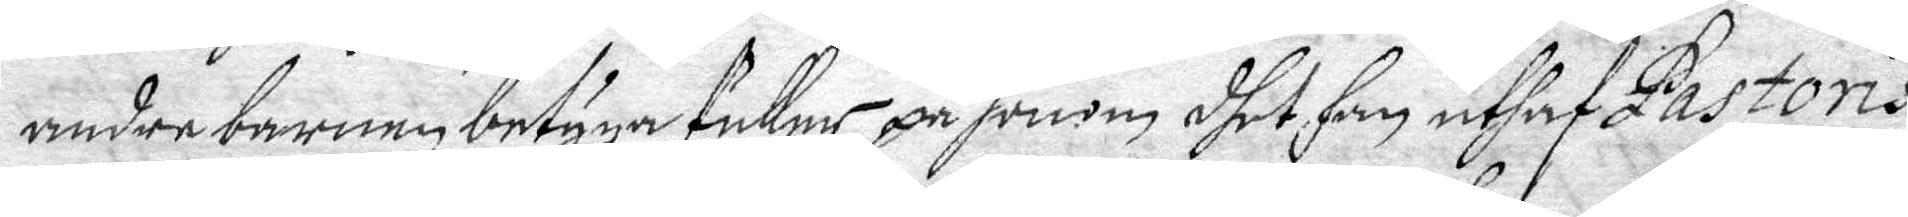andre barnen betyga fuller på honom dhet han uthaf Pastoris
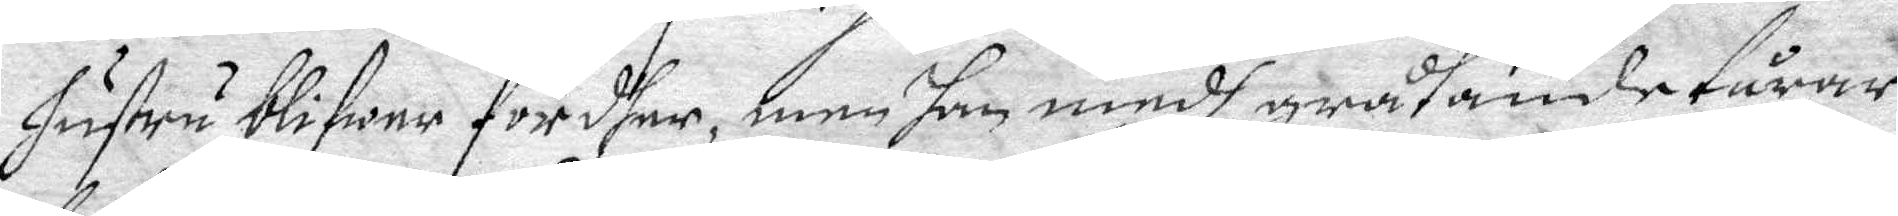hustru blifwer fördher, men han medh gråtande tårar
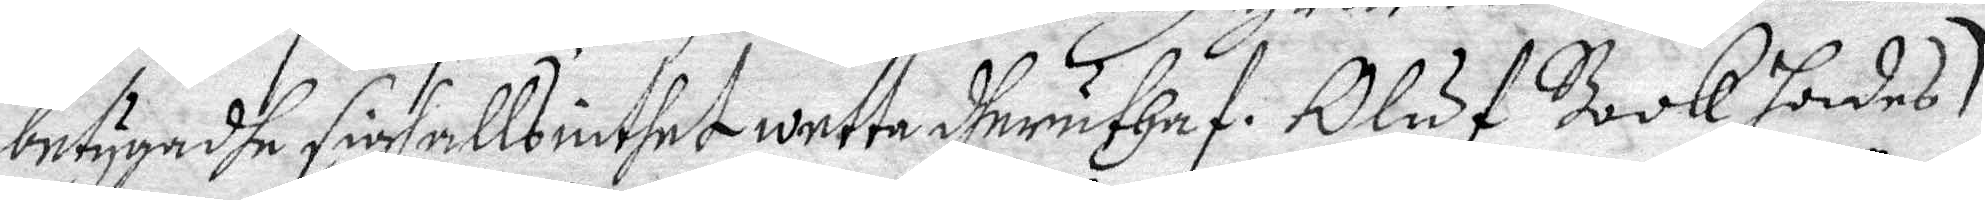betygdhe sigh alls inthet wetta dheruthuf. Oluf Book hades
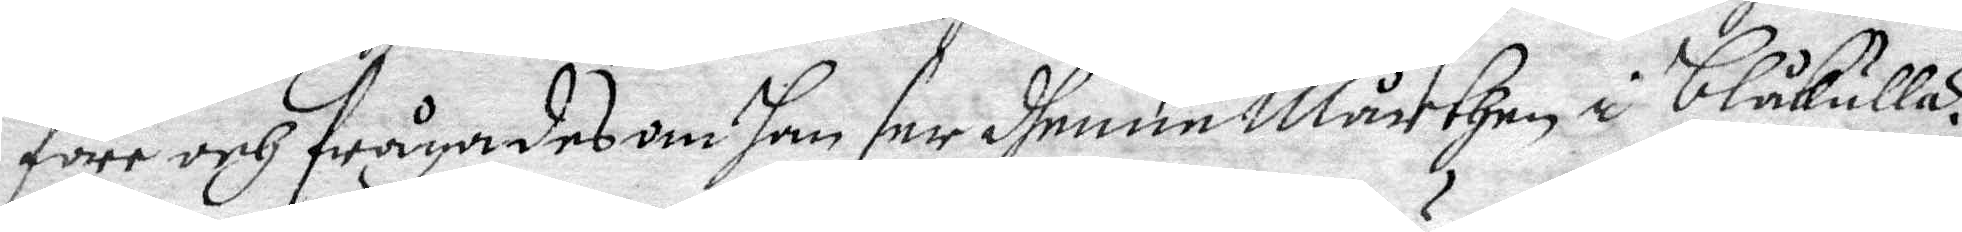före och frågades om han ser dhenne Mårthen i Blåkulla?
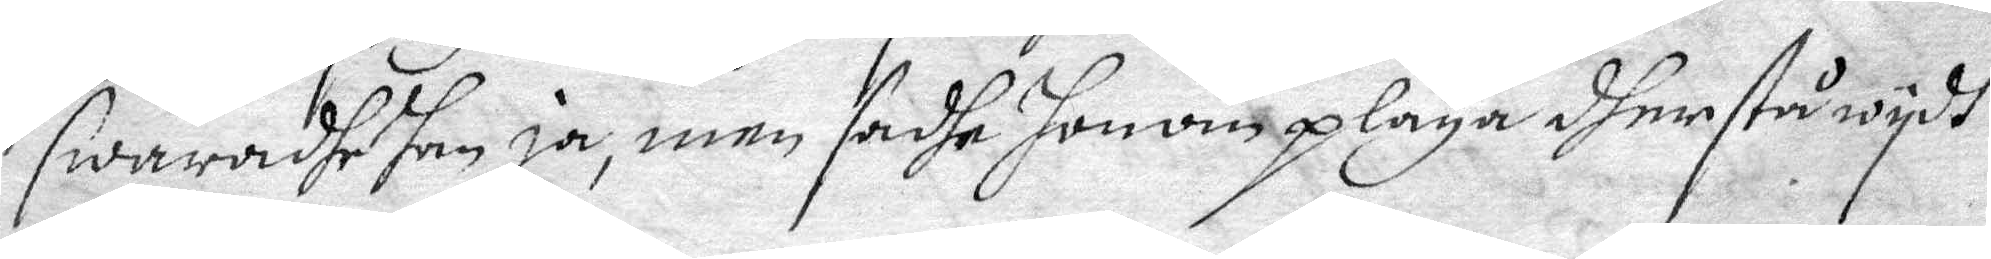swaradhe han ja, men sadhe honom pläga dher stå wydh
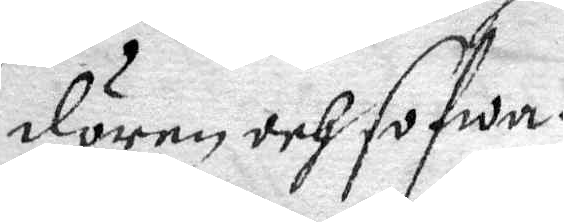dören och sofwa.
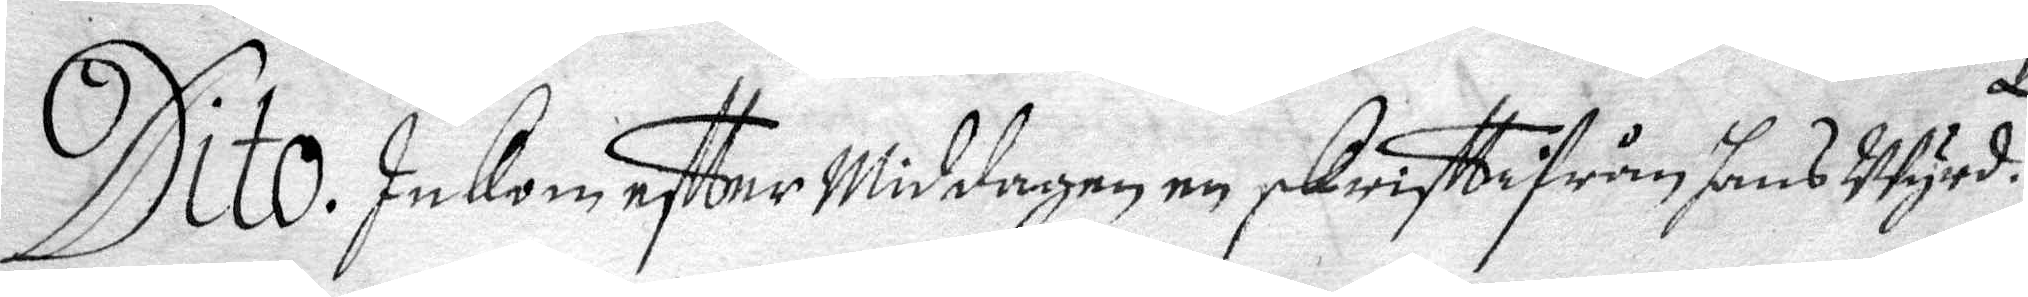Dito. Inkom efter Middagen en skrift ifrån hans Wyrd.
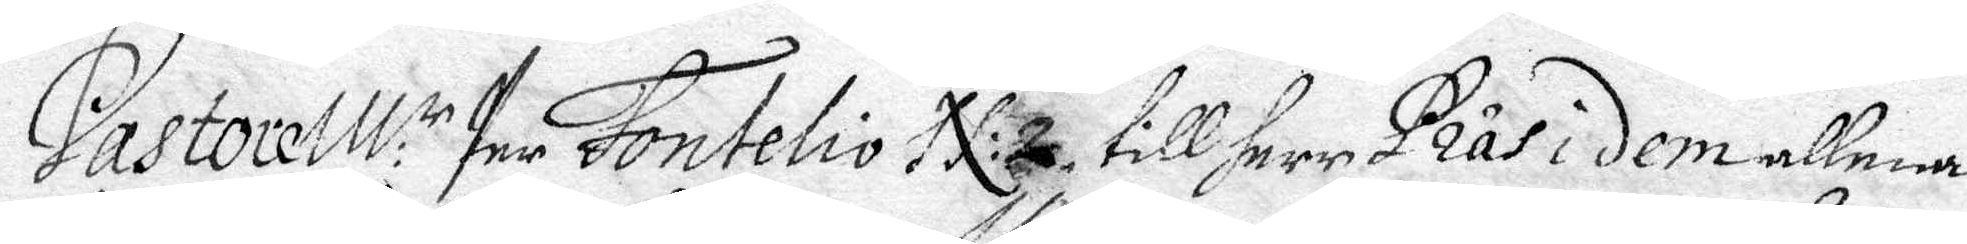Pastore M:r Per Fontelio N:2 till herr Präsidem allena
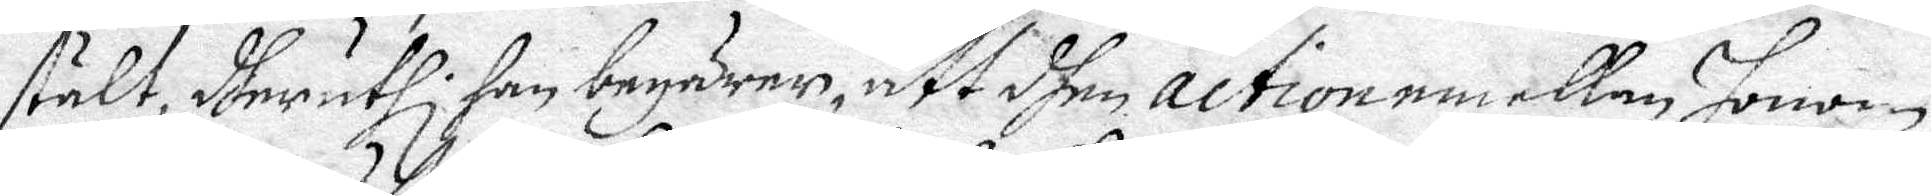stält, dheruthi han begärer, att dhen action emellan honom
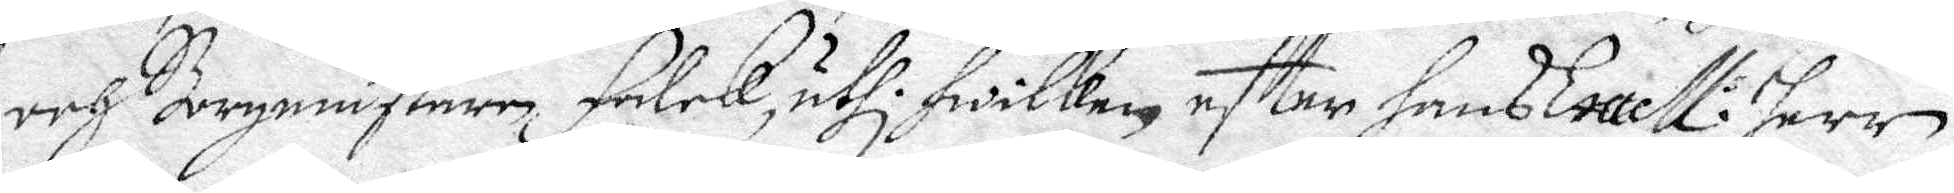och Bergmästaren Falck, uthi hwilken efter hans Excell: Herr
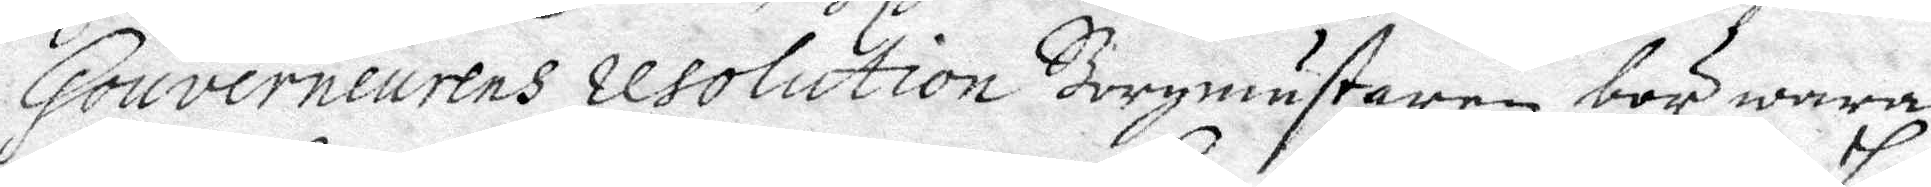Gouverneurens resolution Borgmästaren bör wara
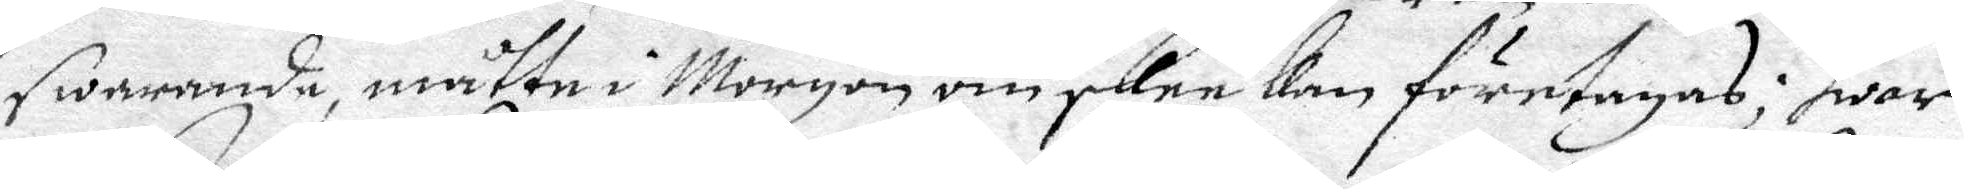swarande, måtte i Morgon om skee kan företagas; hwar
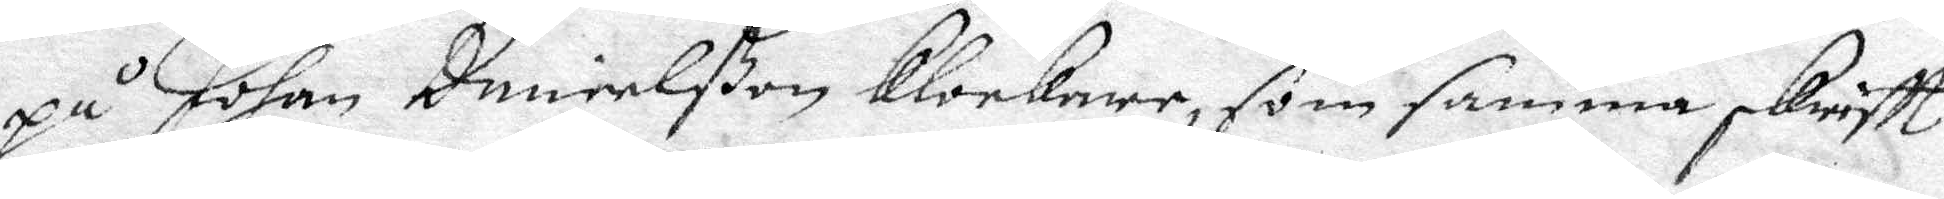på Johan Danielßon Klockere, som samma skrifft 
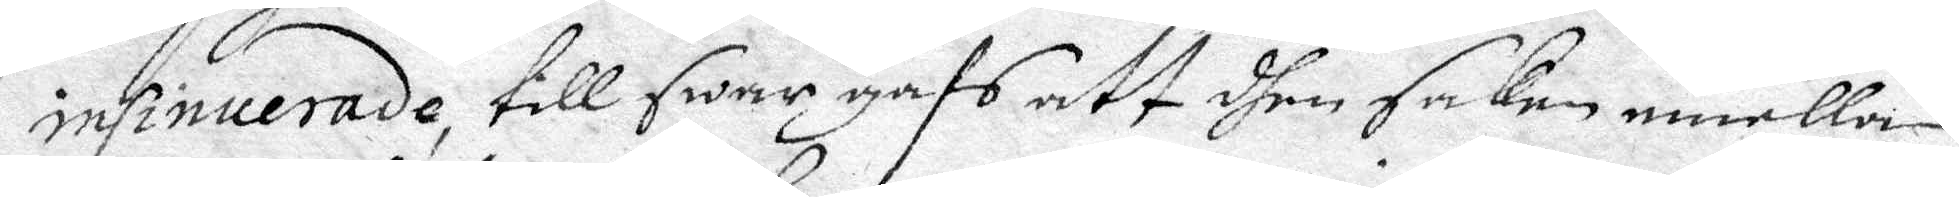insinuerade, till swar gafs att dhen snden emellan
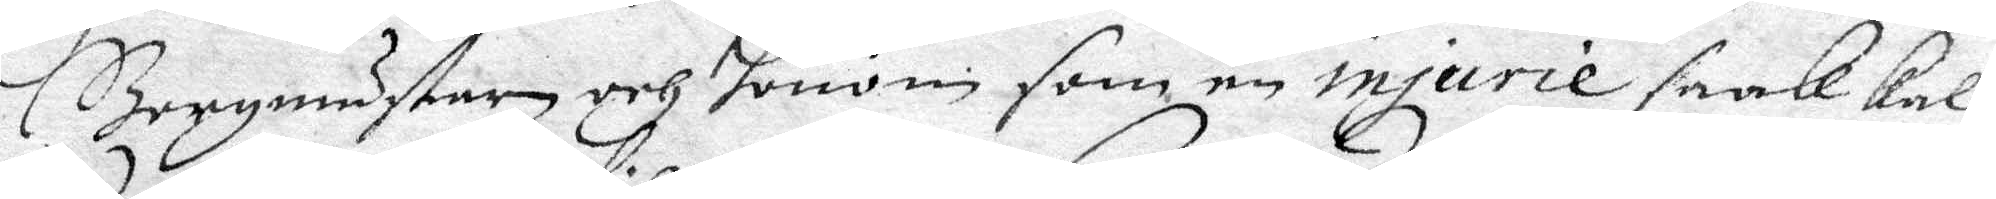Borgmästaren och honom som en injurie saak kal¬
